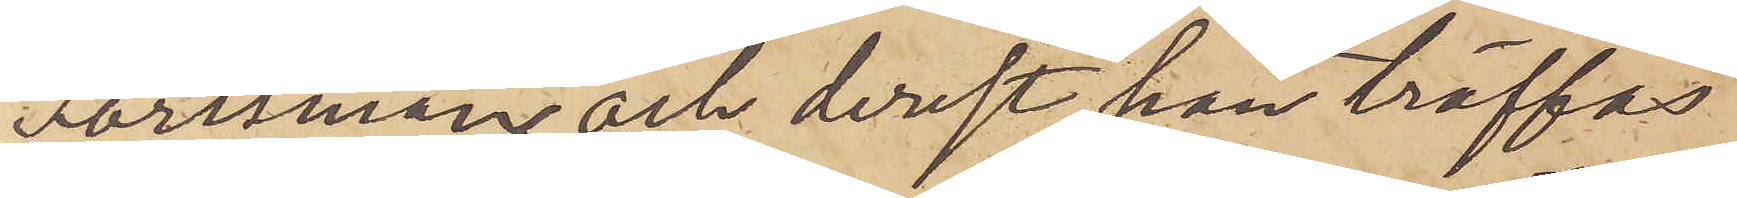Forssman och derest han träffas
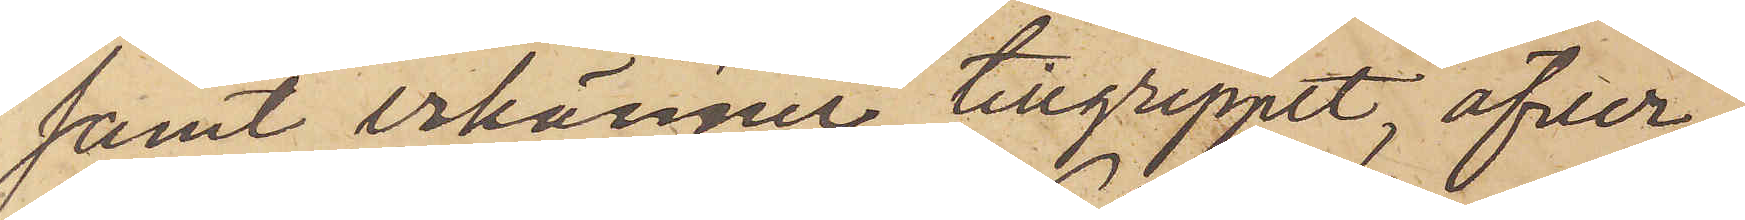samt erkänner tillgreppet, öfver¬
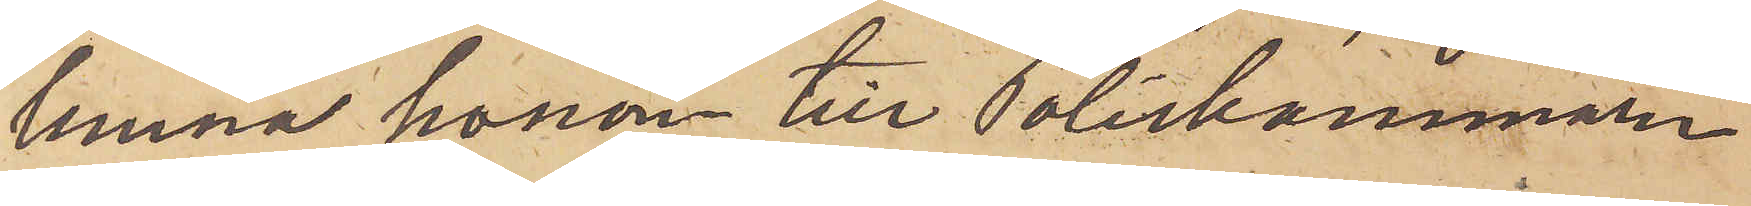lemna honom till Poliskammaren
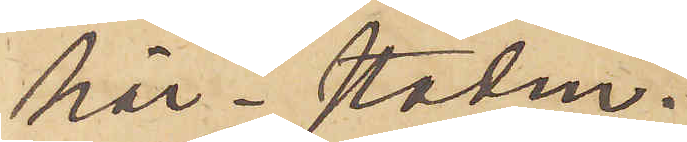här i staden.
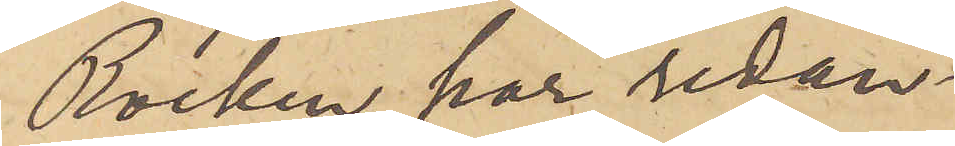Rocken har redan
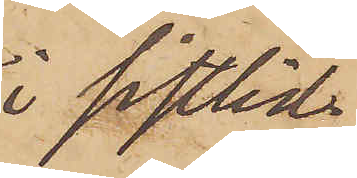i sistlid¬
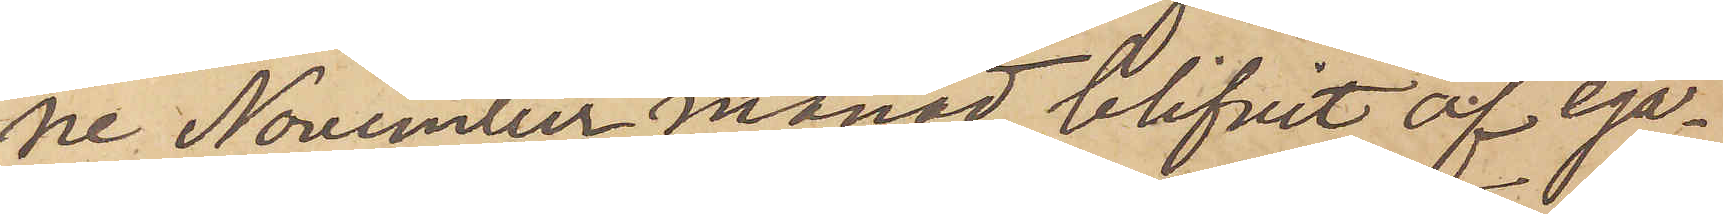ne November månad blifvit af ega¬
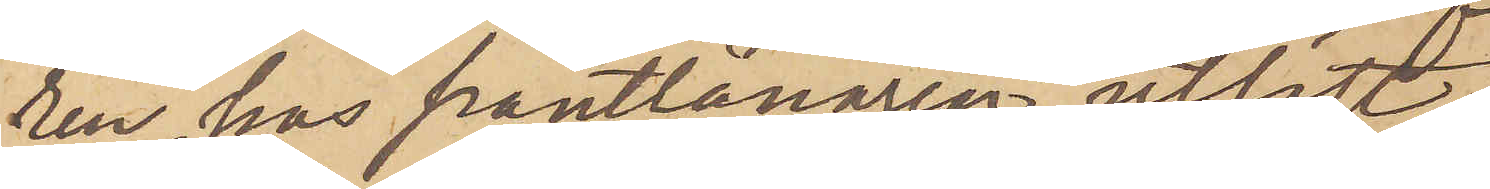ren hos Pantlånaren utlöst.
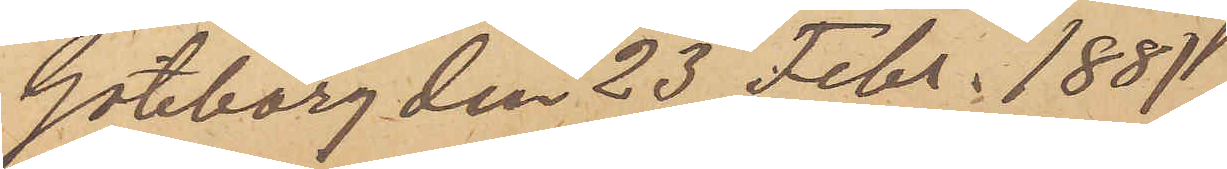Göteborg den 23 Febr. 1881.
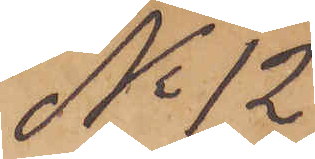No 12
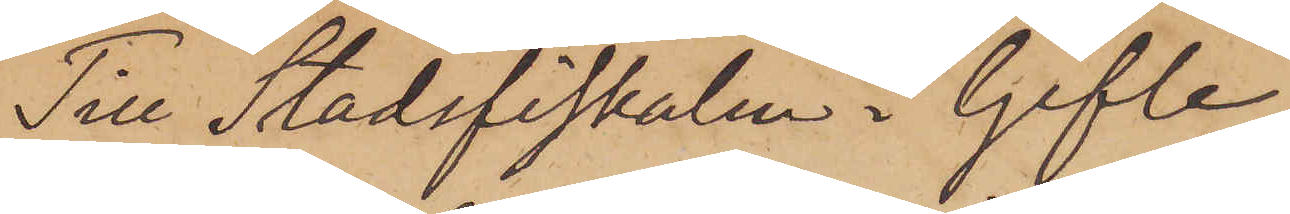Till Stadsfiskalen i Gefle
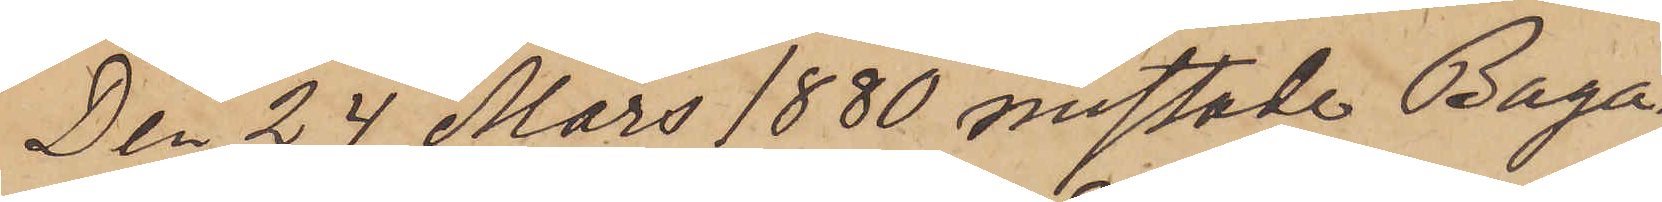Den 24 Mars 1880 mistade Baga¬
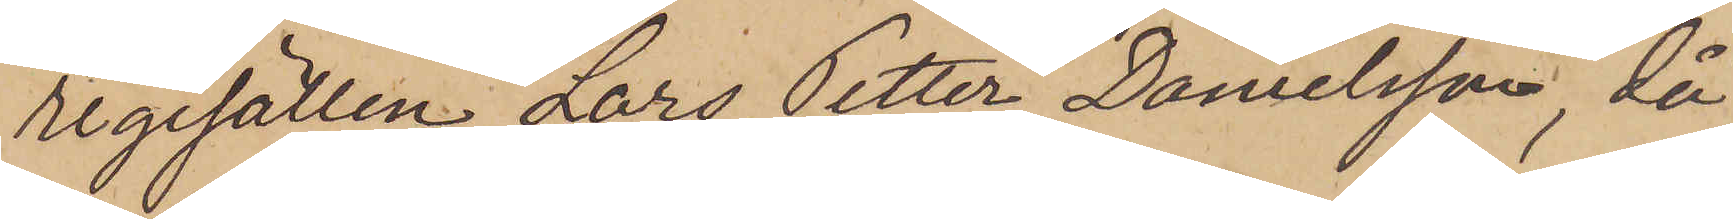regesällen Lars Petter Danielsson, då
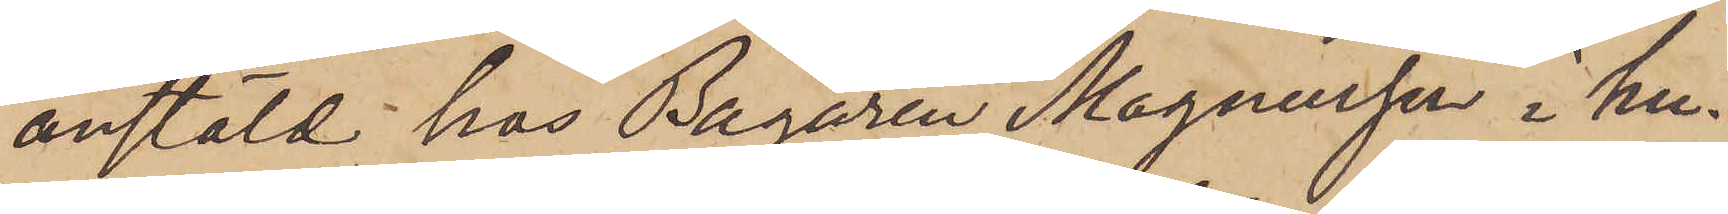anstäld hos Bagaren Magnusson i hu¬
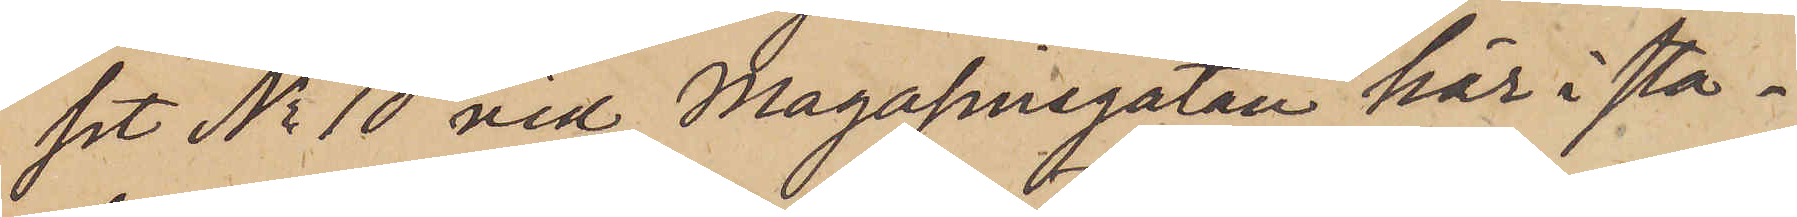set No 10 vid Magasinsgatan här i sta¬
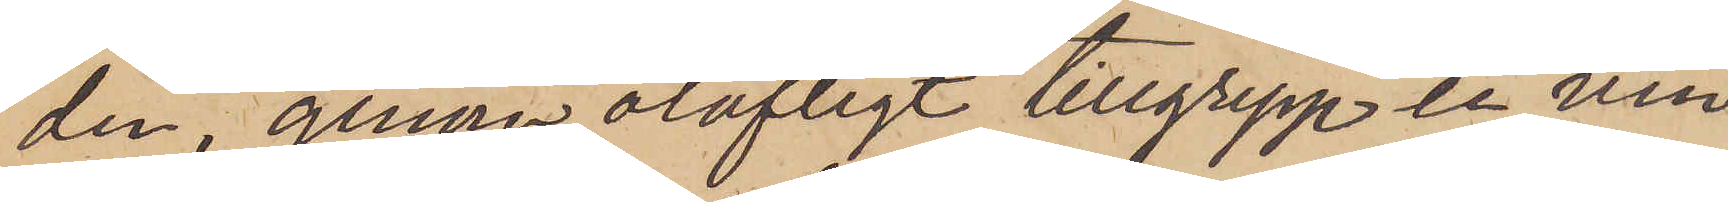den, genom olofligt tillgrepp en vin¬
